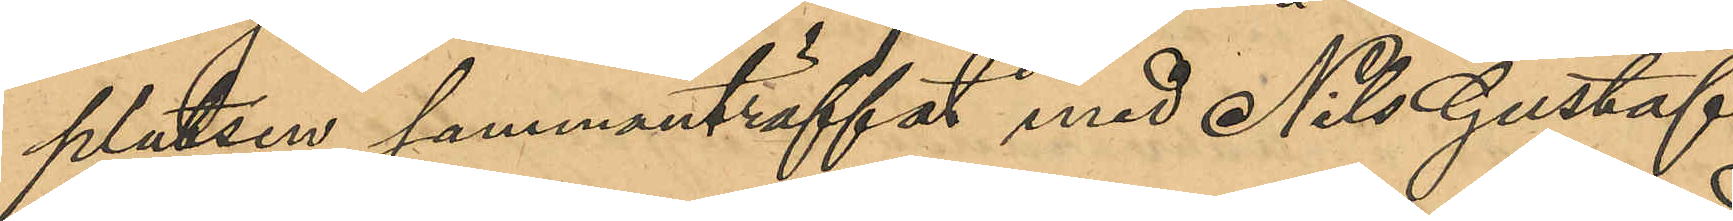platsen sammanträffat med Nils Gustaf
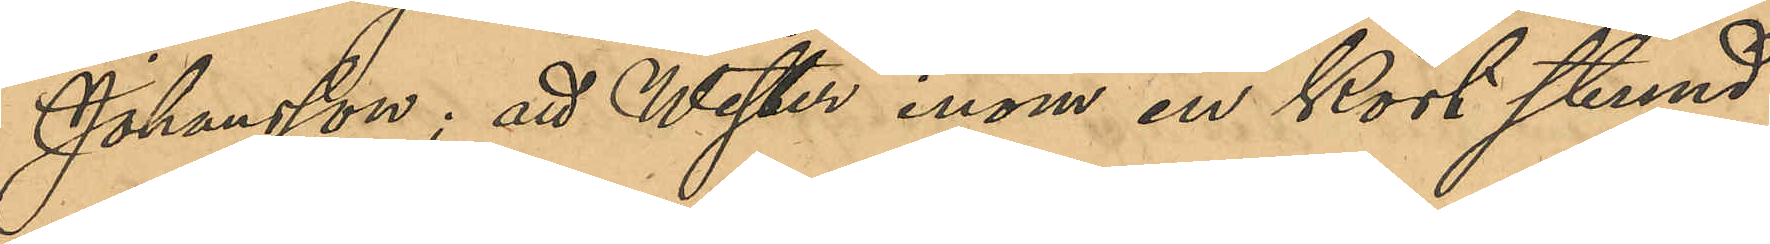Johansson; att Wester inom en kort stund
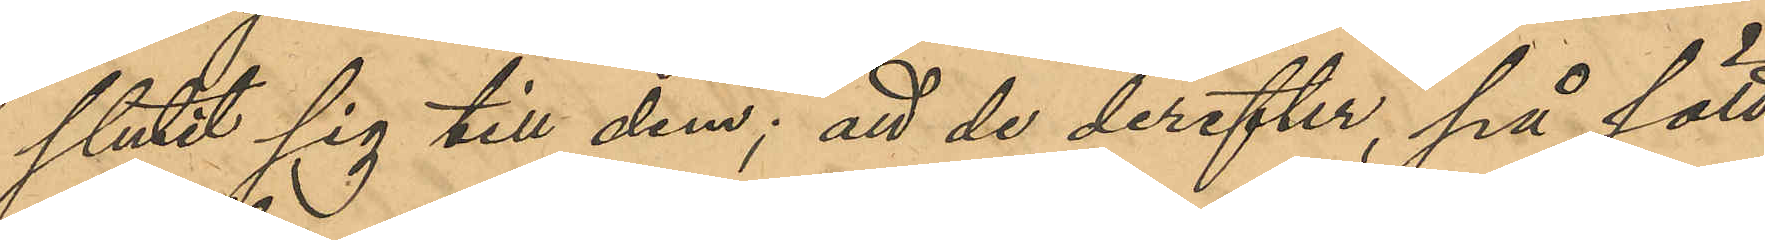slutit sig till dem; att de derefter, på sätt
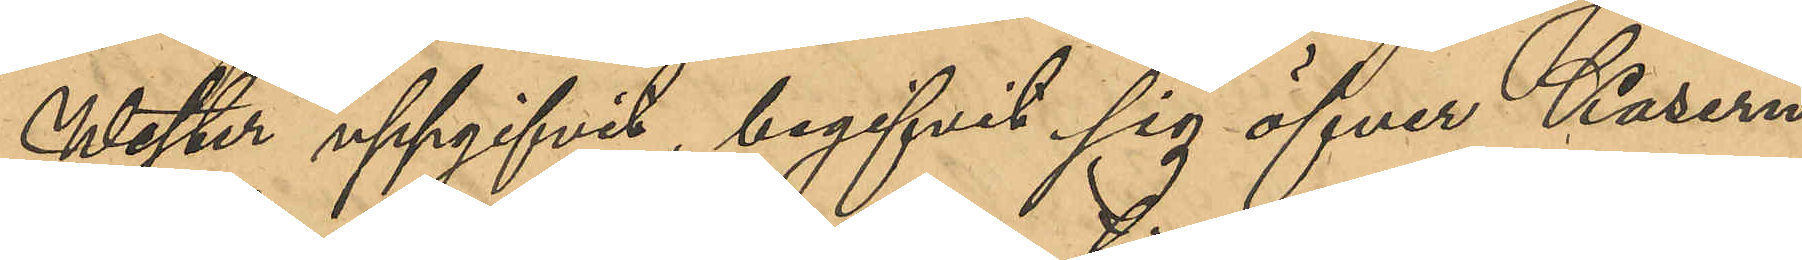Wester uppgifvit, begifvit sig öfver Kasern¬
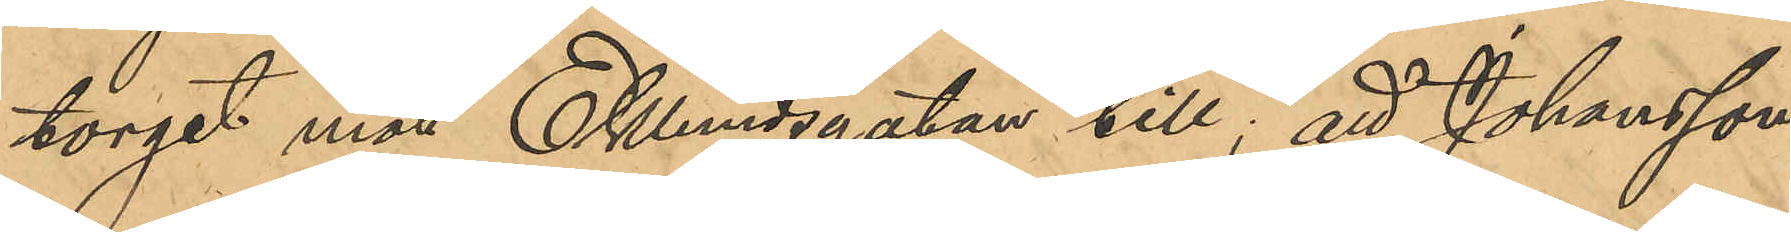torget mot Eklundsgatan till, att Johansson
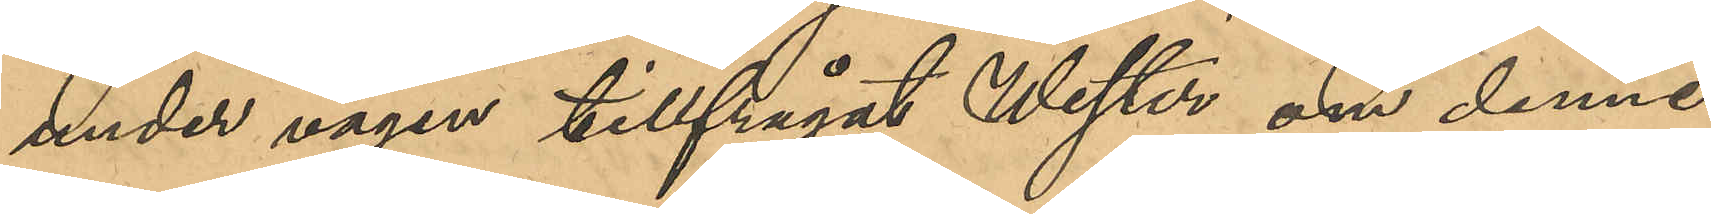under vägen tillfrågat Wester om denne
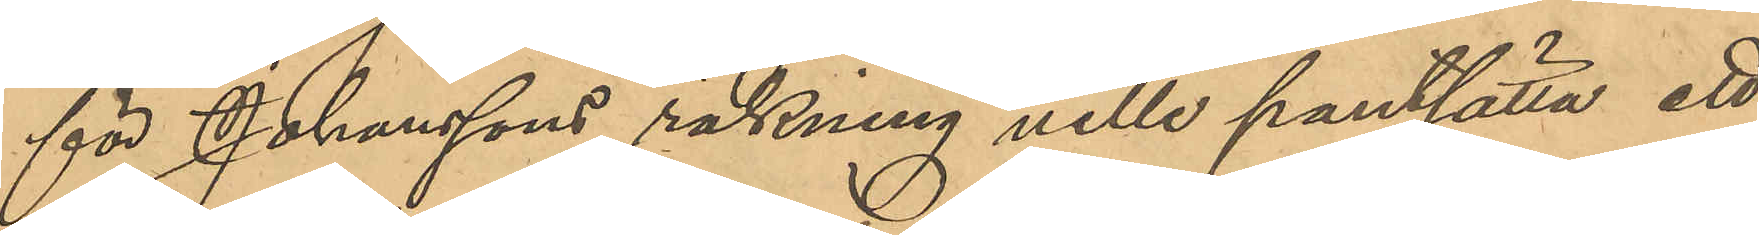för Johanssons räkning ville pantsätta ett
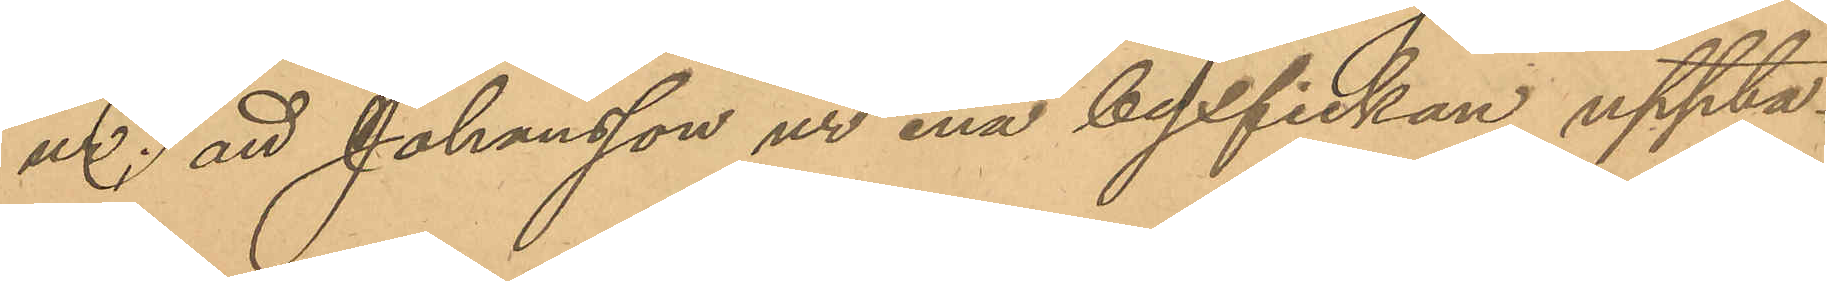ur; att Johansson ur ena byxfickan uppta¬
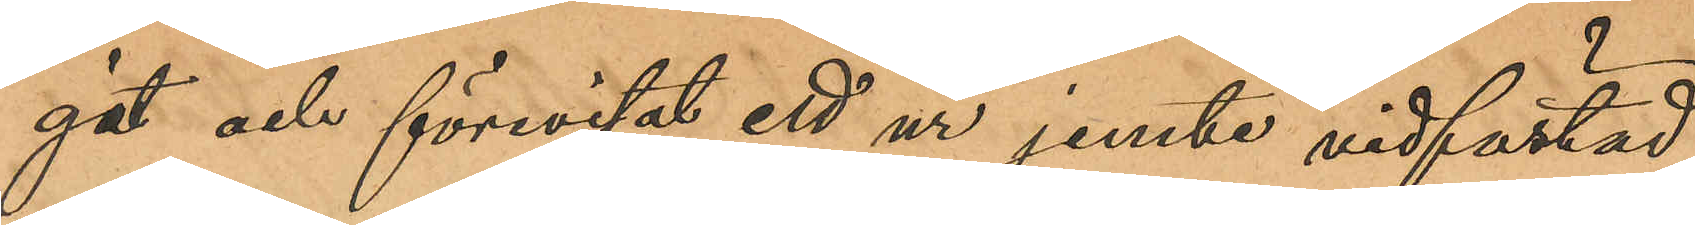git och förevisat ett ur jemte vidfästad
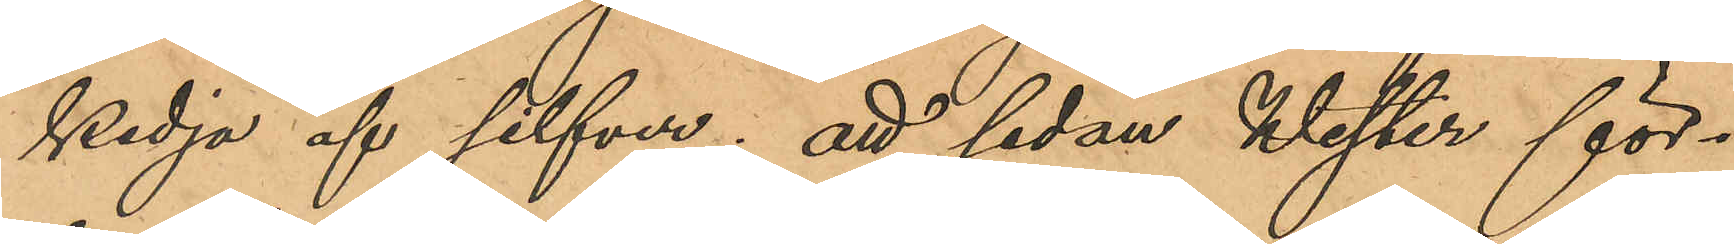kedja af silfver; att sedan Wester för¬
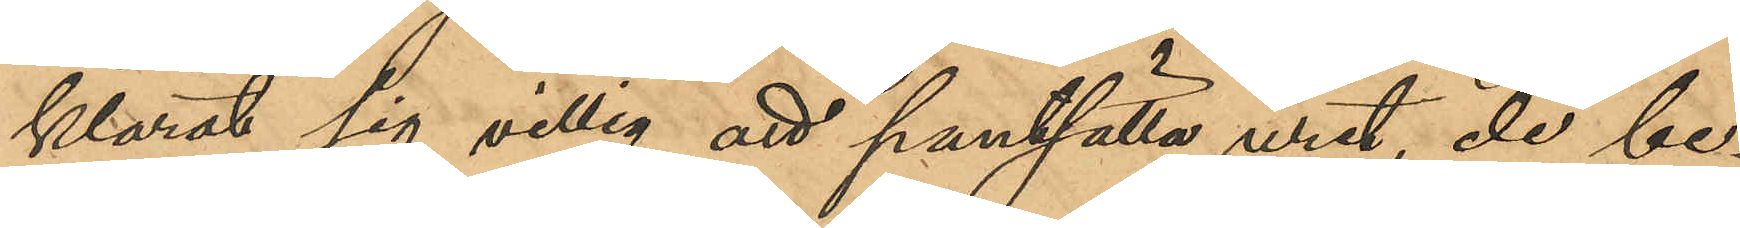klarat sig villig att pantsätta uret, de be¬
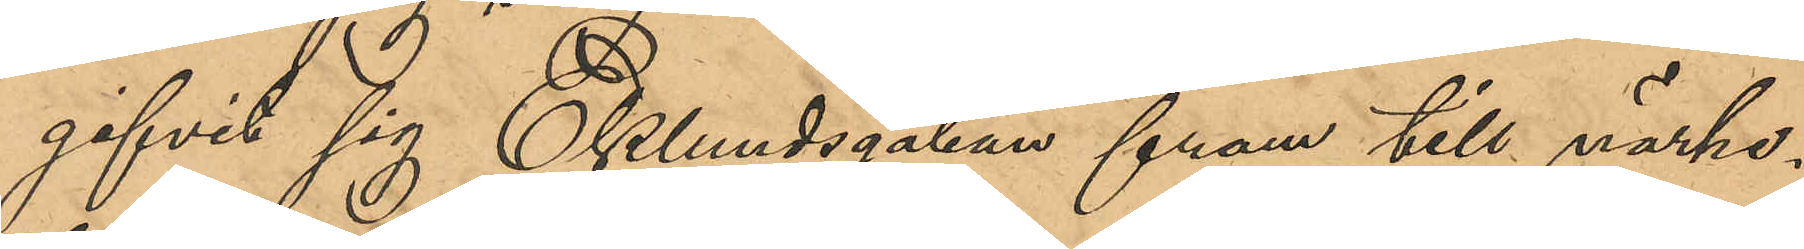gifvit sig till Eklundsgatan fram till närhe¬
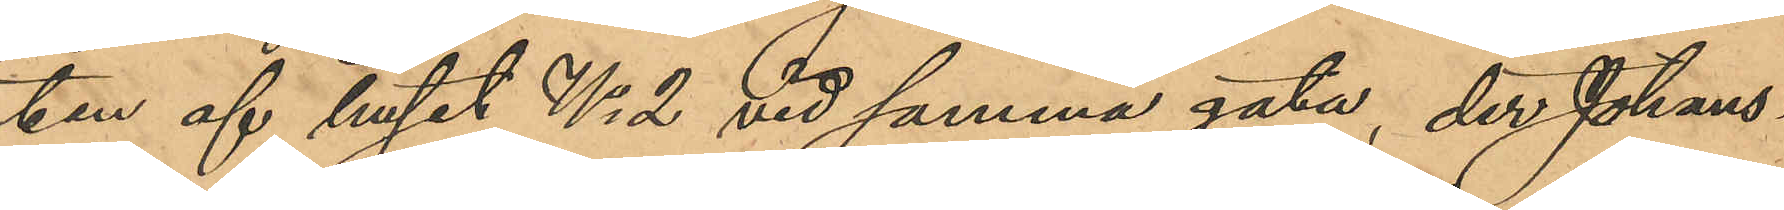ten af huset No 2 vid samma gata, der Johans¬
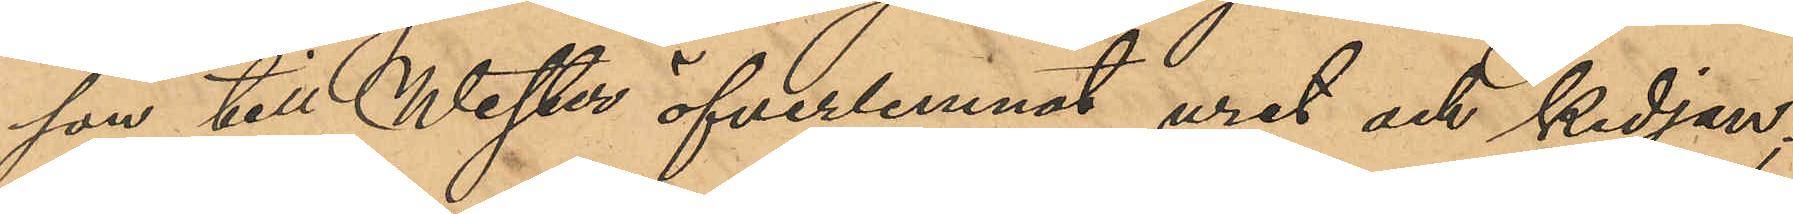son till Wester öfverlemnat uret och kedjan;
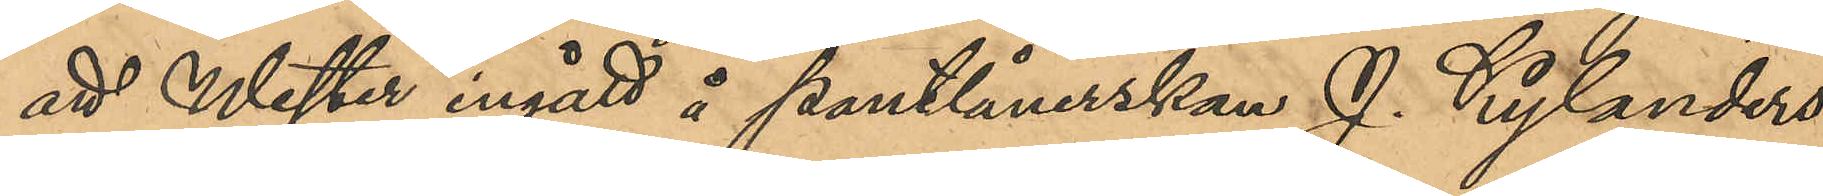att Wester ingått å pantlånerskan J. Kylanders
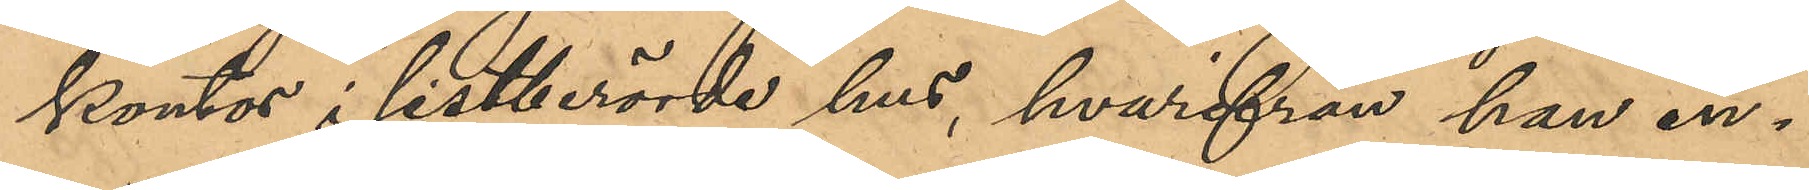kontor i sistberörde hus, hvarifrån han in¬
